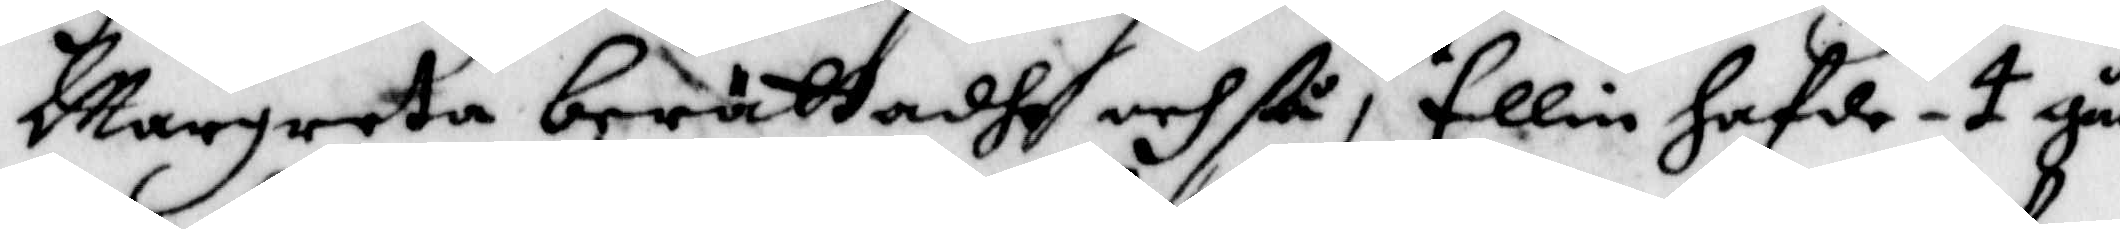Margreta berättadhe och ßå, at Ellin hafde - 4 gån¬
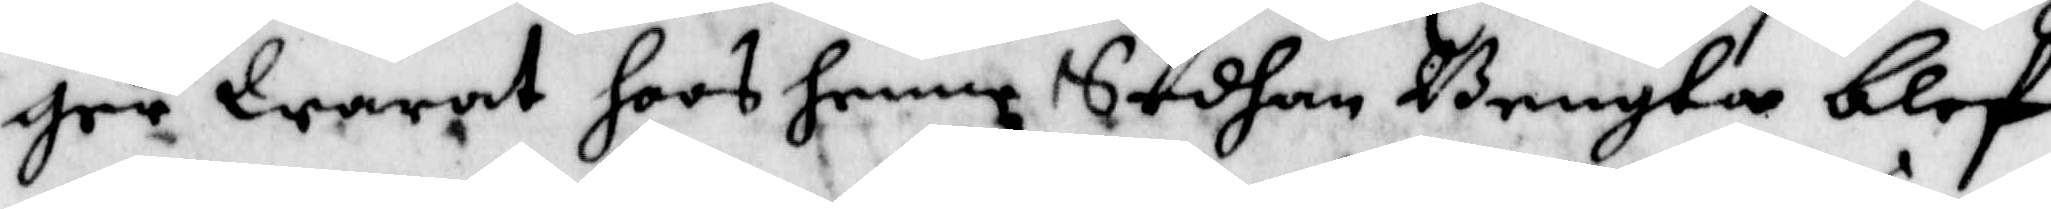ger Warat hoos henne Sedhan Bengta blef
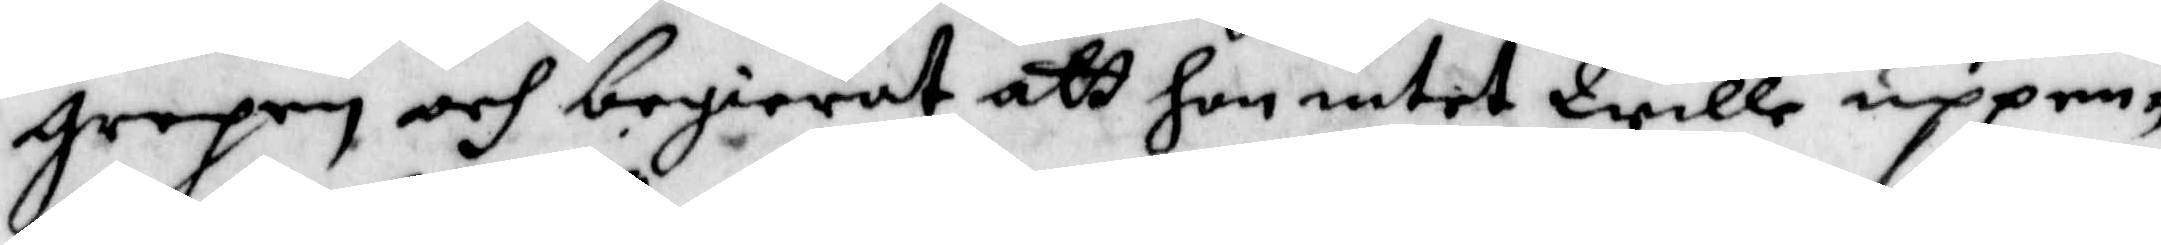grepen och begierat att Hon intet Wille uppen¬
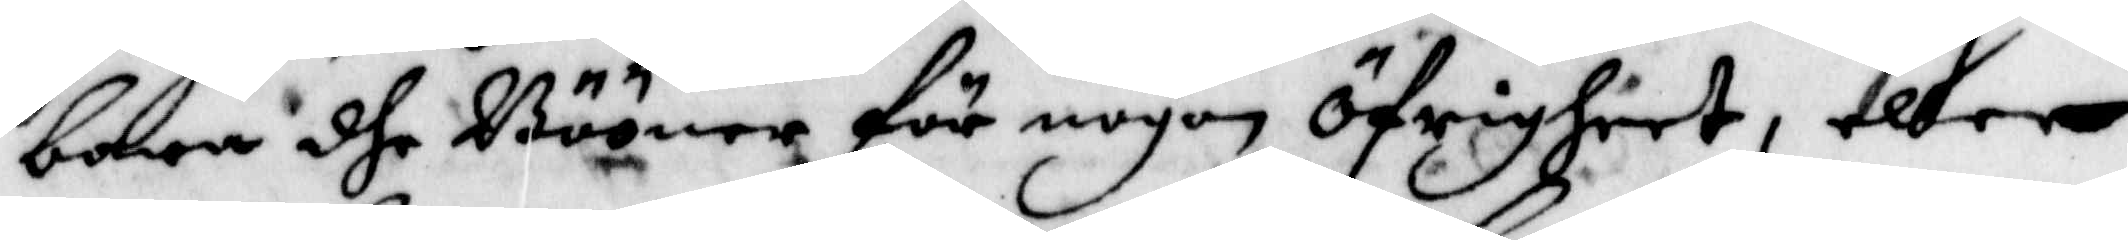bara dhe Bööner för nogon öfrigheet, eller
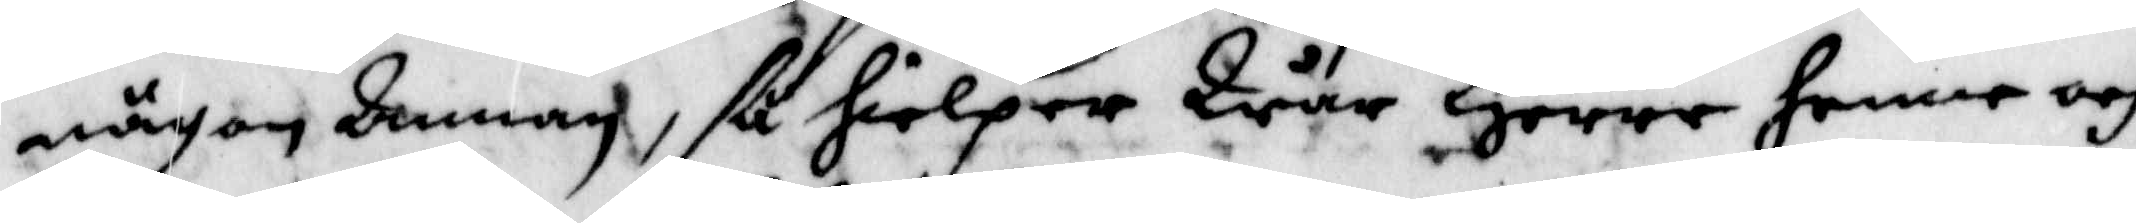någon Annan, så hielper Wån Herre Henne och
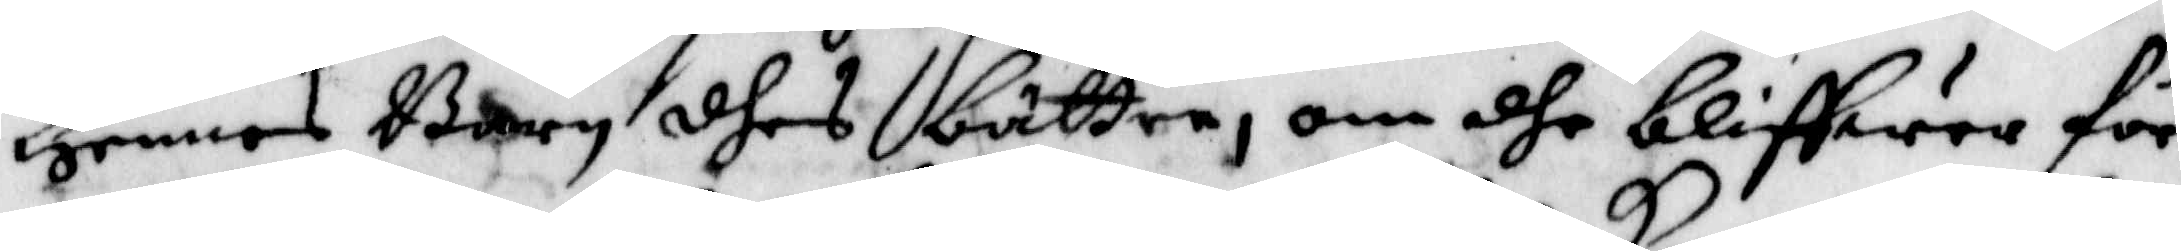Hennes Barn dhes bättre, om dhe blifwer för¬
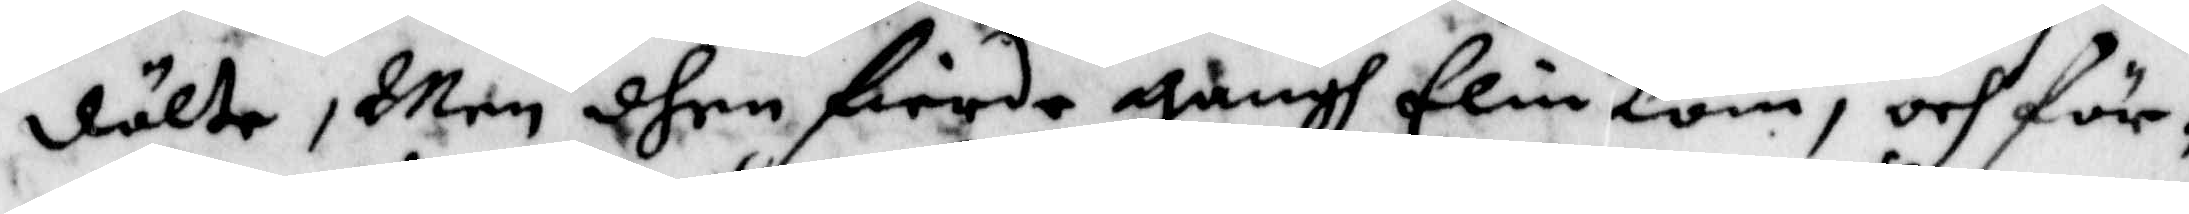dålte, Men dhen fierde gångh Elin kom, och för¬
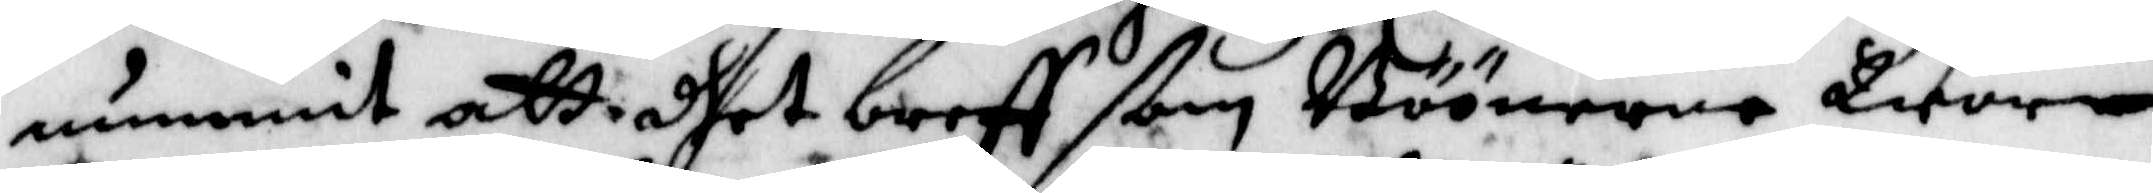nummit att dhet breff ßom Böönerne Wore
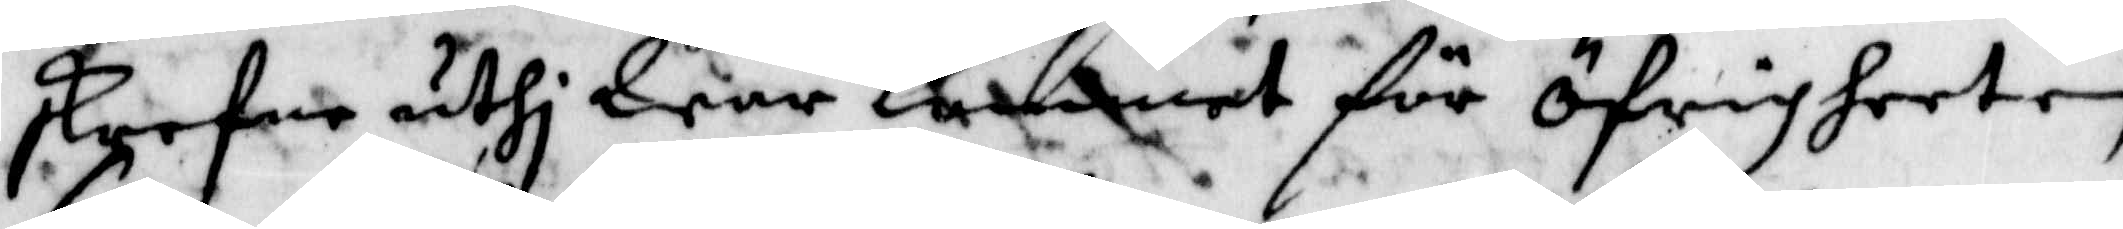skrefne uthi War kommet för öfrigheeten,
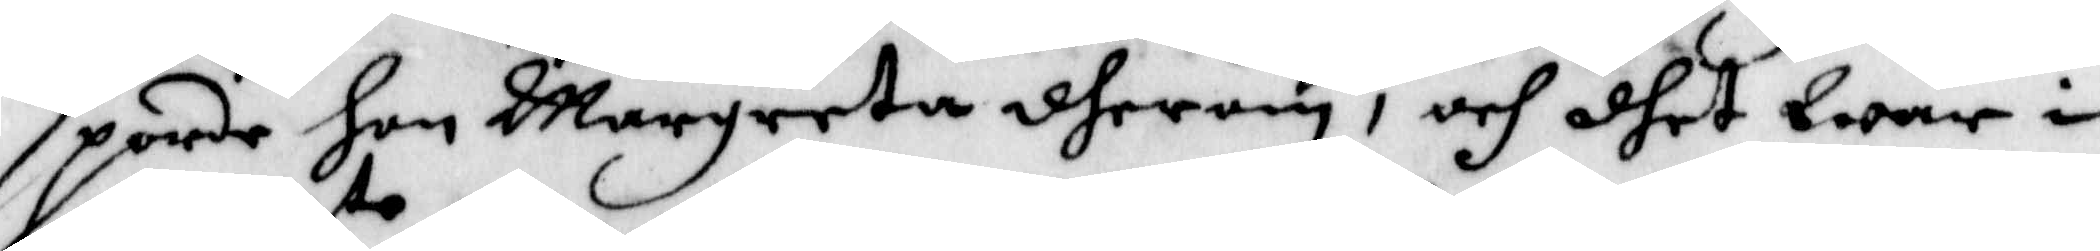sporde hon Margreta dherom, och dhet War i
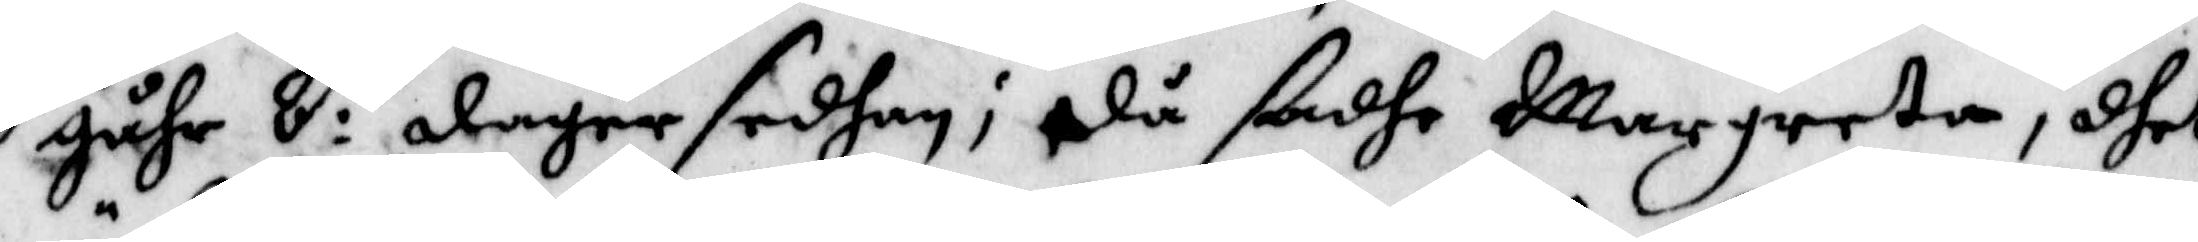gåhr 8:to dagar sedhan; då sadhe Margreta, dhet
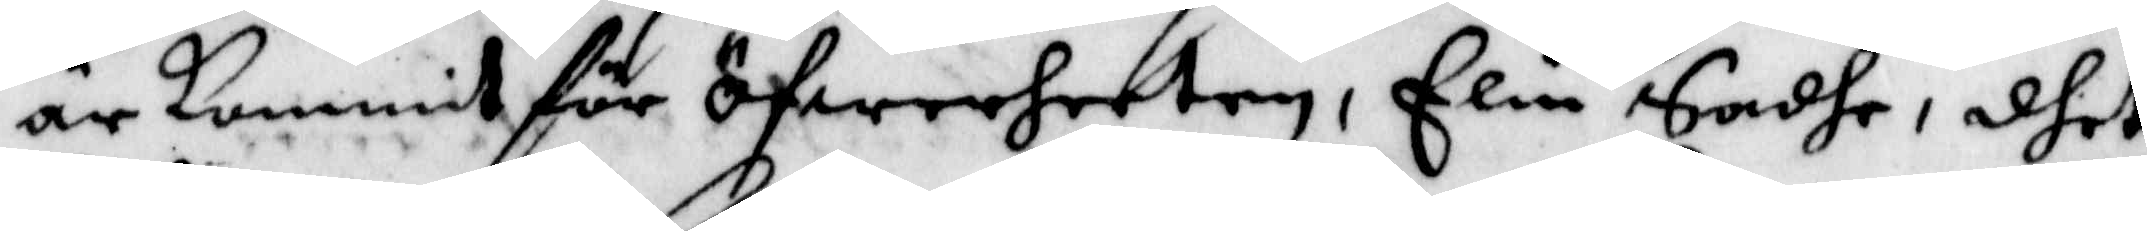är kommit för öfwerheeten, Elin Sadhe, dhet
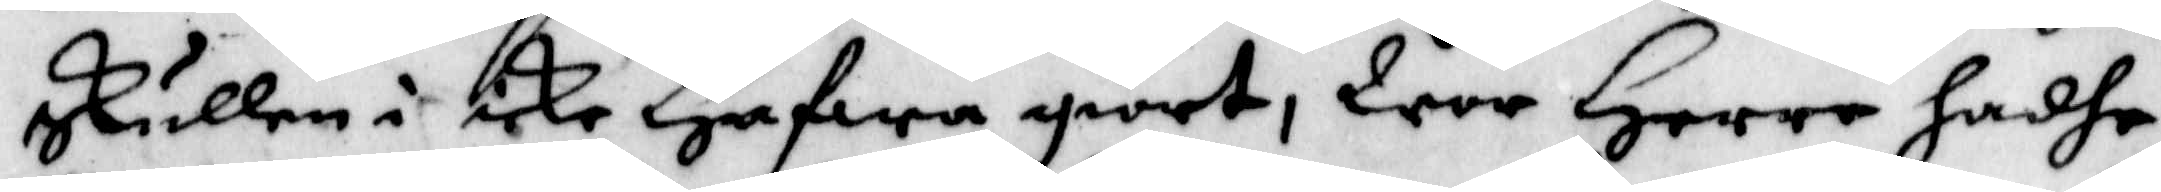skullen i icke Hafwa giort, Wor Herre hadhe
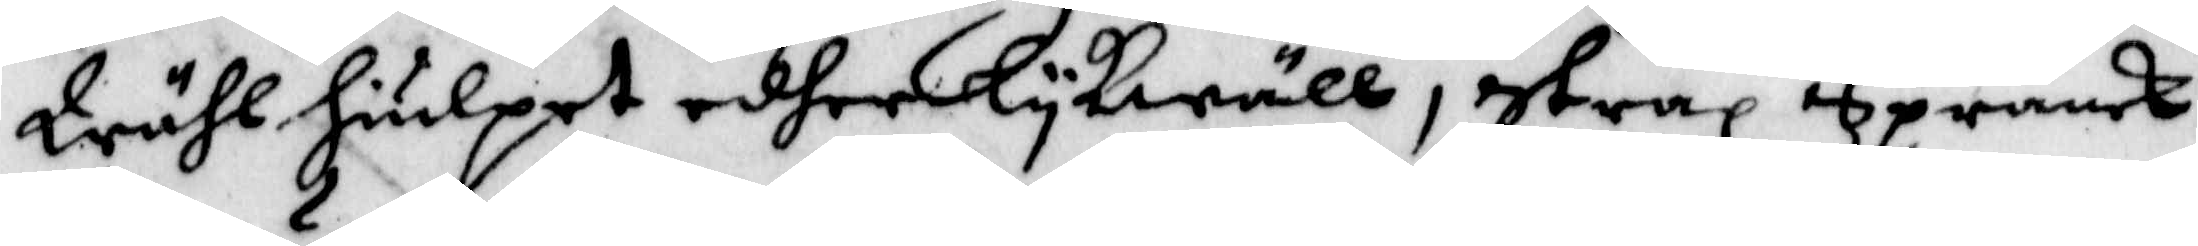Wähl hiulpet edher lykwäll, strax Spranck
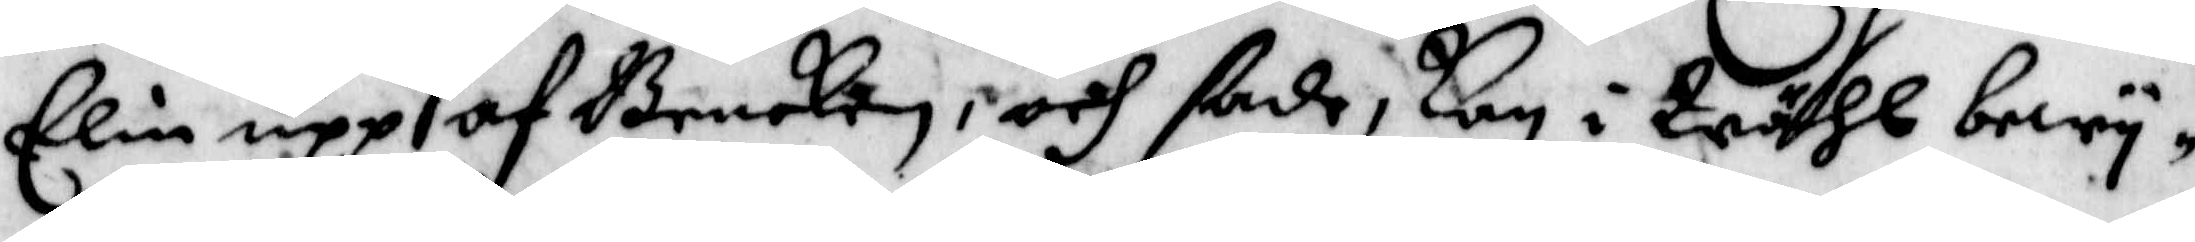Elin upp af Bencken, och sade, kan i Wähl bewy¬
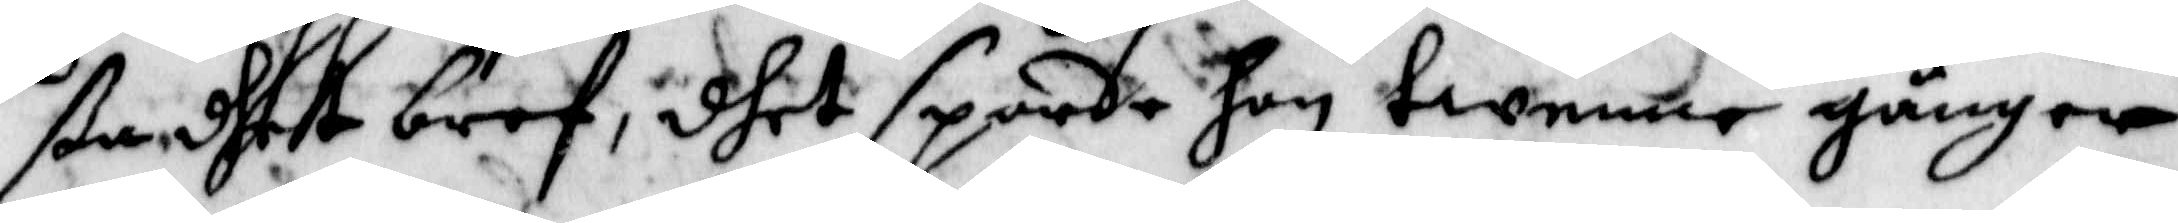ßa dhet bref, dhet sporde hon twenne gånger,
